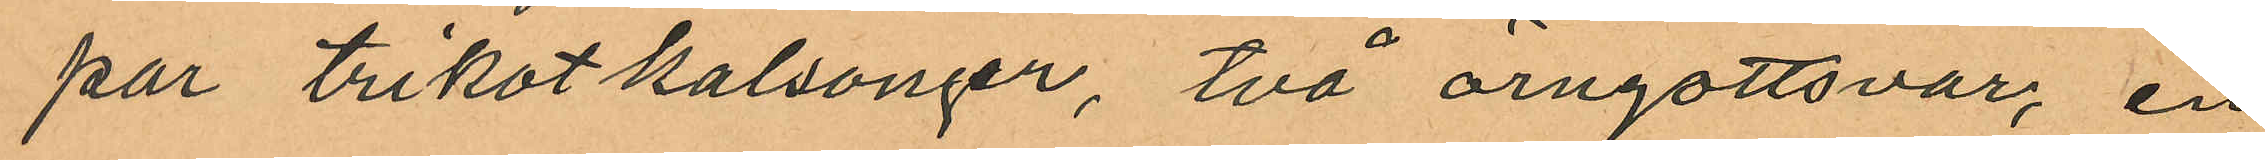par trikotkalsonger, två örngottsvar, en
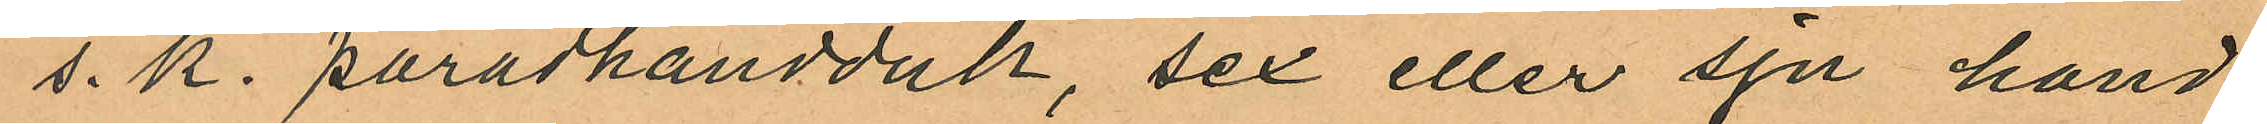s. k. paradhandduk, sex eller sju hand¬
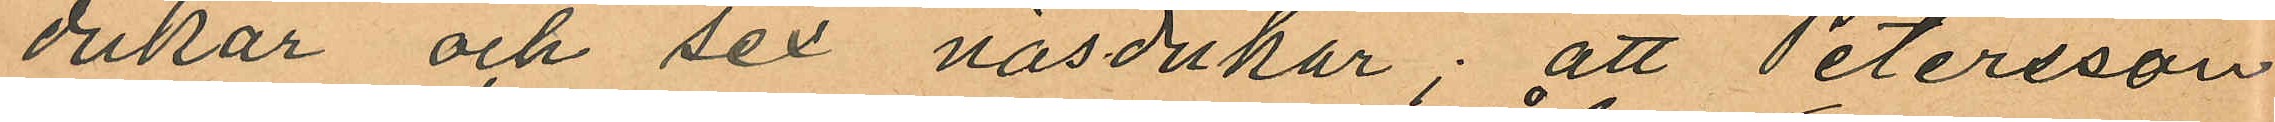dukar och sex näsdukar; att Petersson
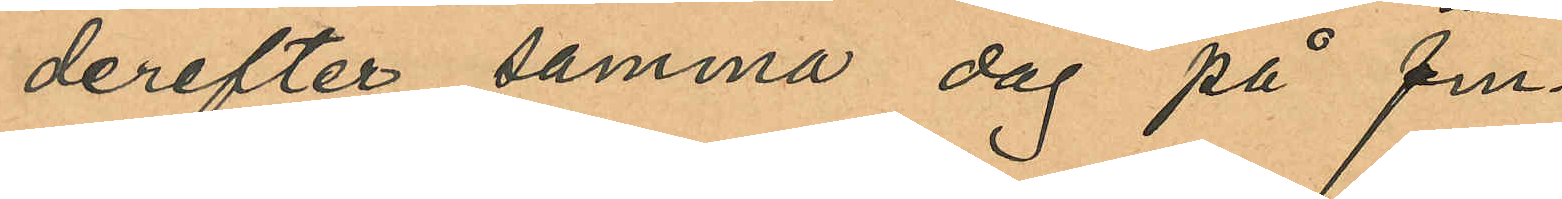derefter samma dag på fm.
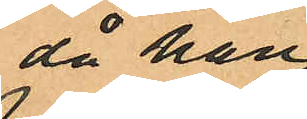då han
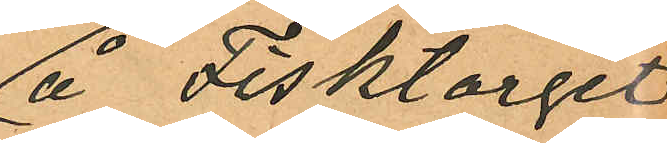å Fisktorget
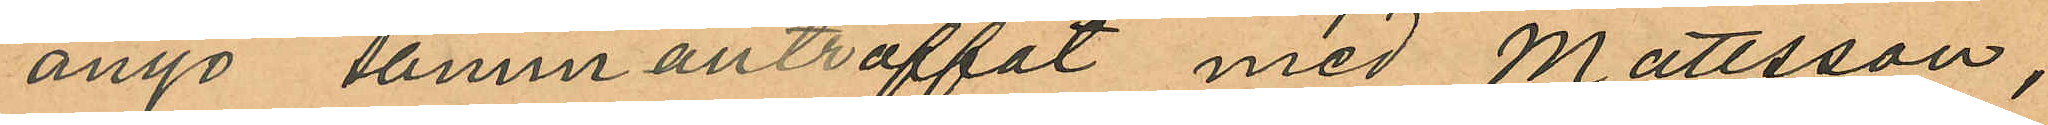ånyo sammanträffat med Mattsson,
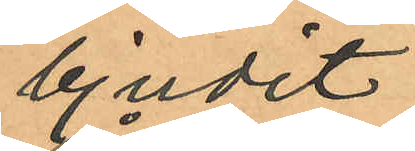bjudit
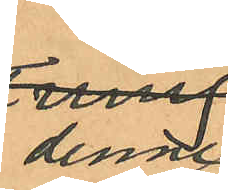denne
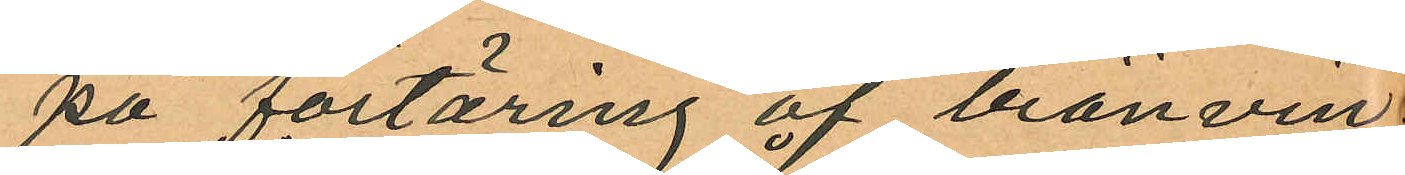på förtäring af bränvin
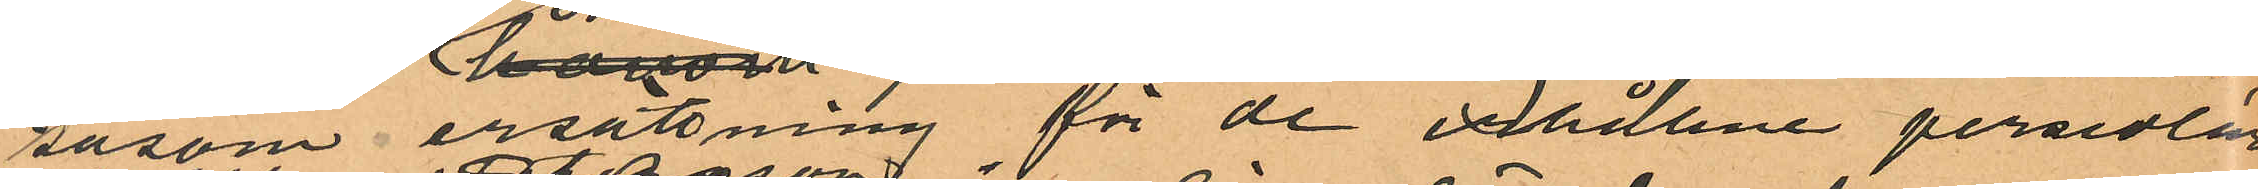såsom ersättning för de erhållne persedlar
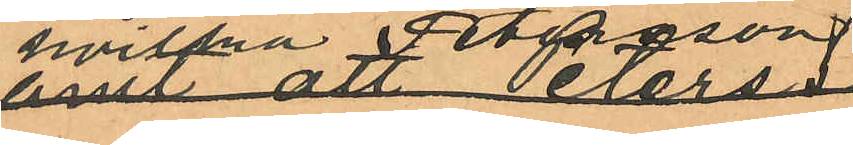vilka Petersson
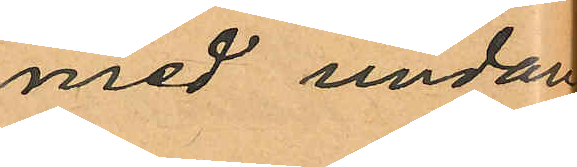med undan
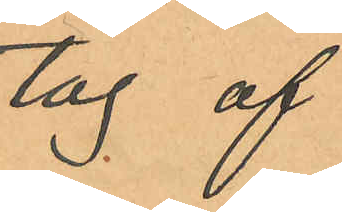tag af
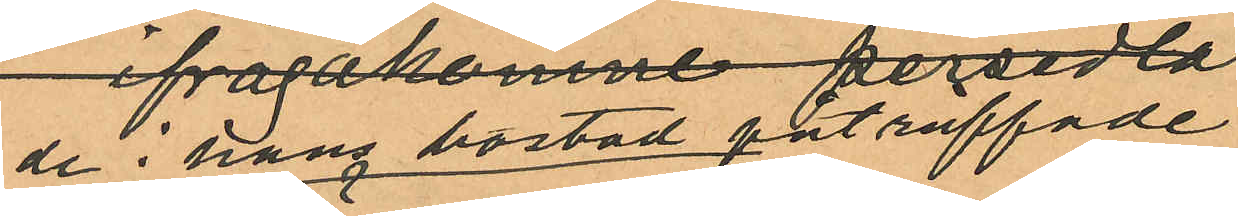de i hans bostad påträffade
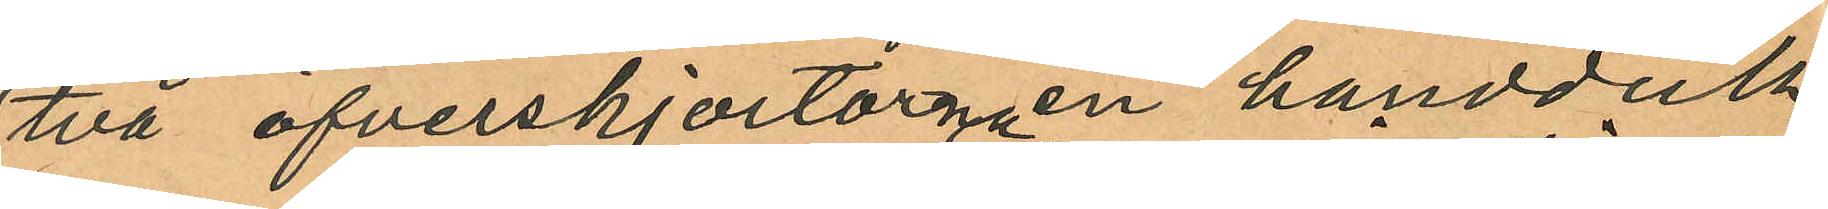två öfverskjortorna en handduk
